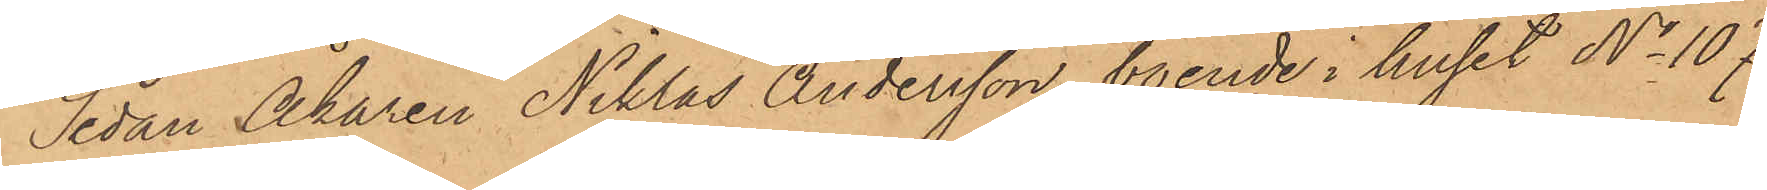Sedan Åkaren Niklas Andersson, boende i huset No 107
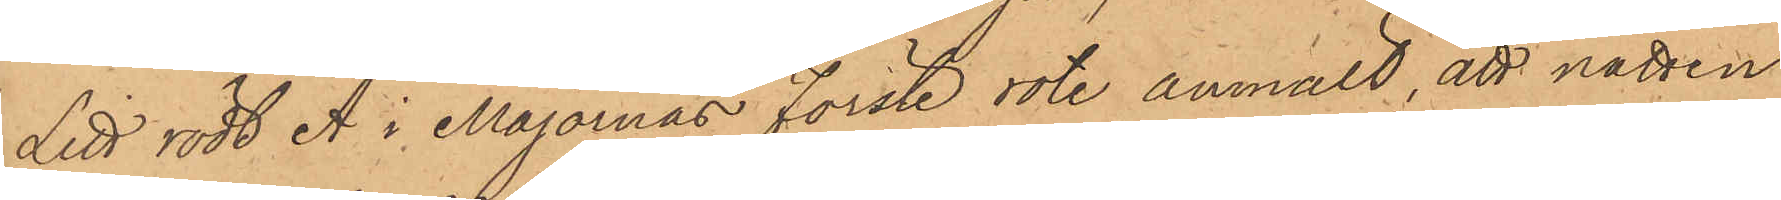Litt rödt A i Majornas Förste rote anmält, att natten
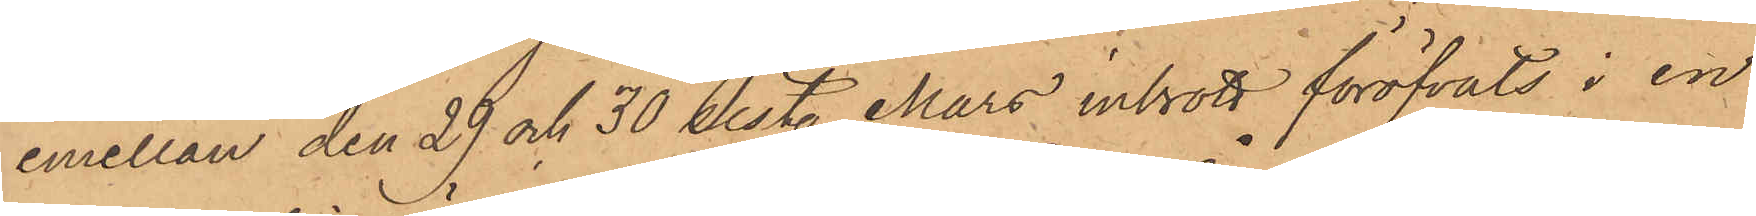emellan den 29 och 30 sist. Mars inbrott föröfvats i en
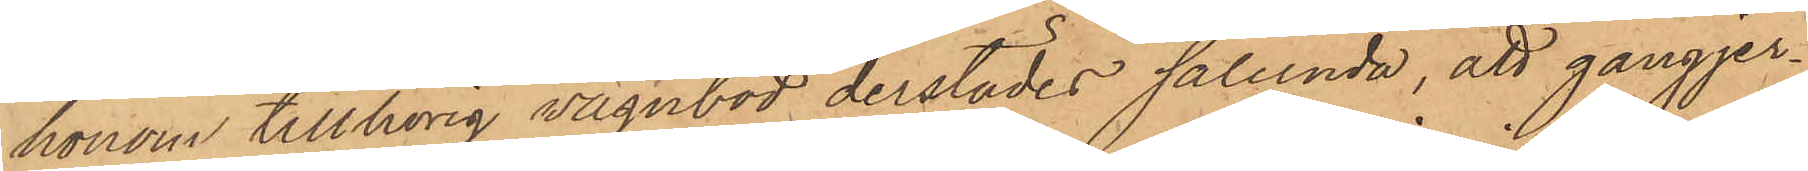honom tillhörig vagnbod derstädes sålunda, att gångjer¬
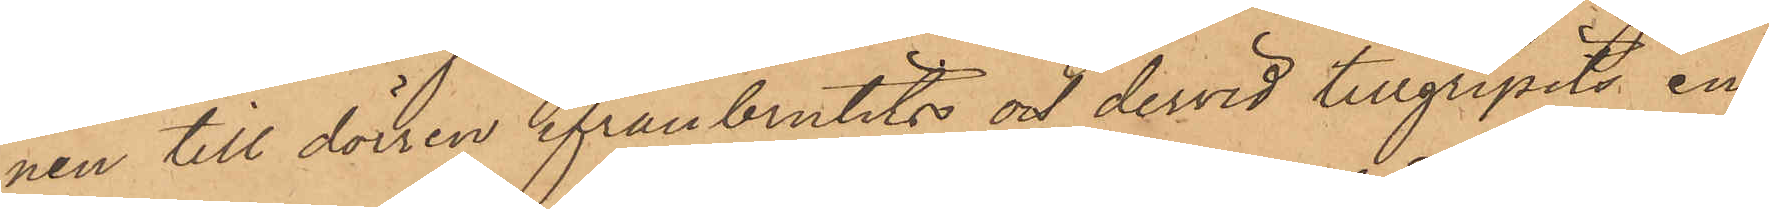nen till dörren ifrånbrutits och dervid tillgripits en
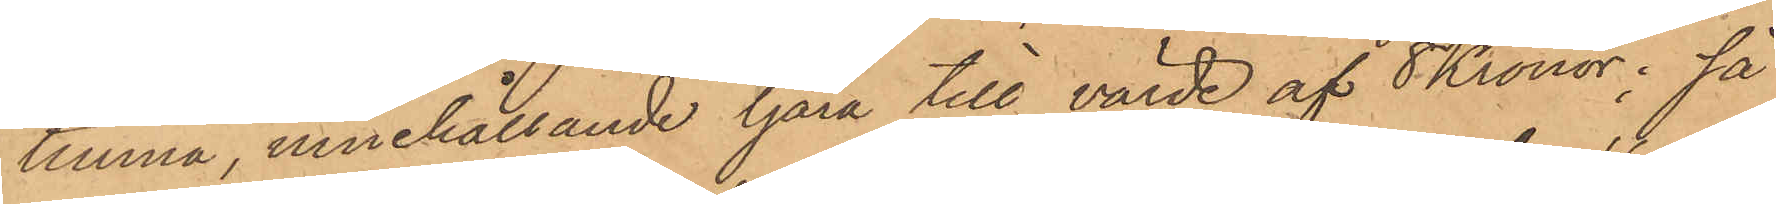tunna, innehållande tjära till värde af 8 Kronor; så
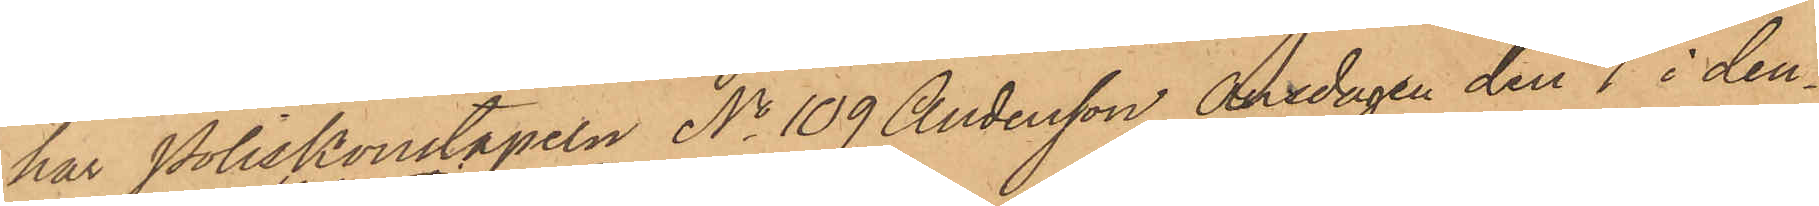har Poliskonstapeln No 109 Andersson Onsdagen den 4 i den¬
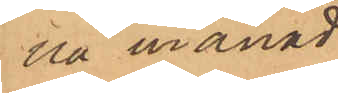na månad
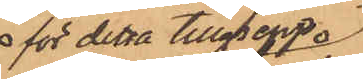för detta tillgrepp
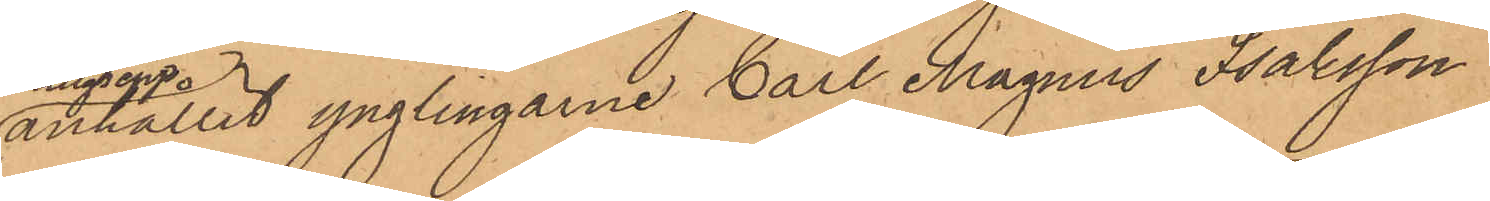anhållit ynglingarne Carl Magnus Isaksson
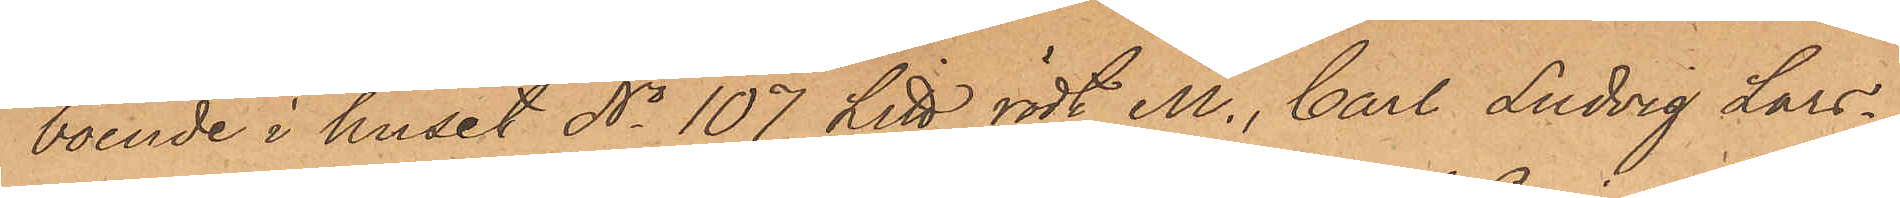boende i huset No 107 Litt rödt M., Carl Ludvig Lars¬
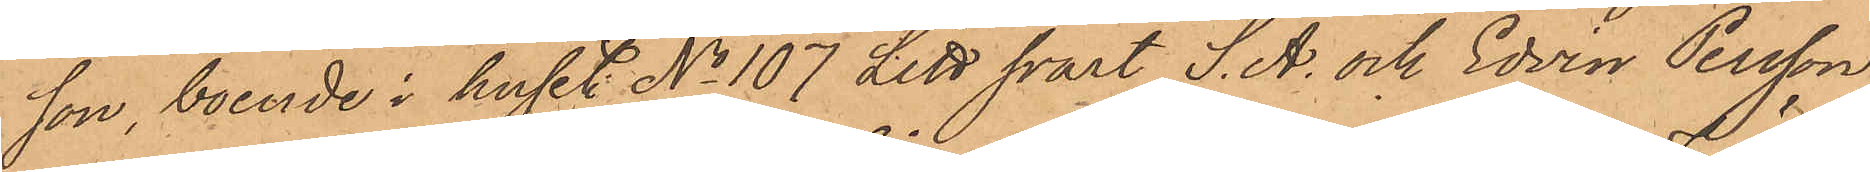son, boende i huset No 107 Litt svart S. A. och Edvin Persson,
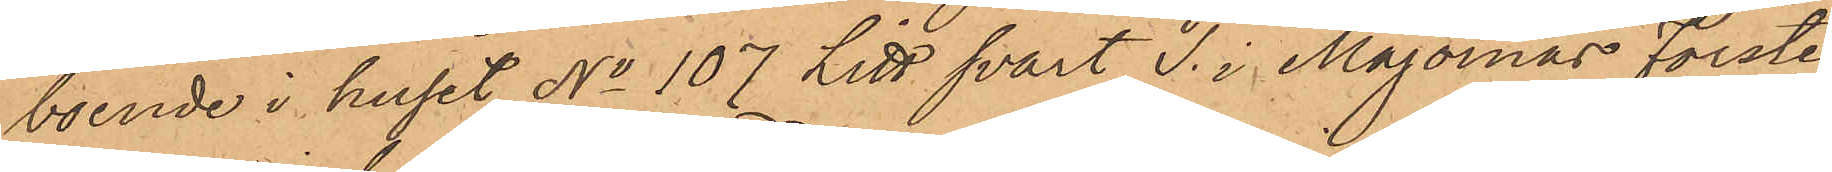boende i huset No 107 Litt svart T. i Majornas förste
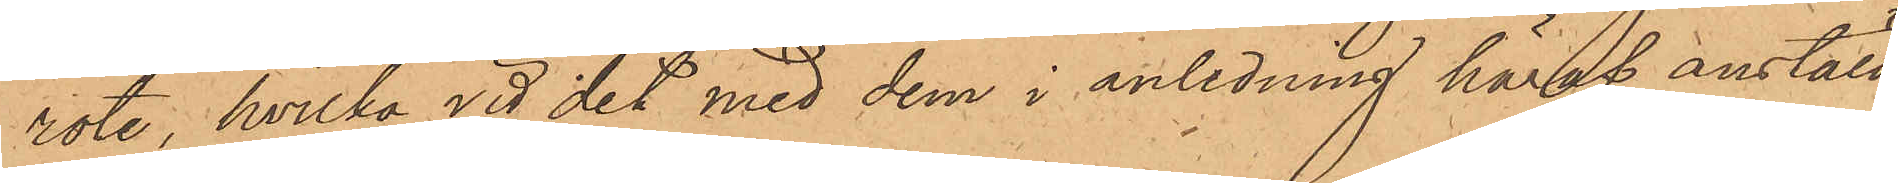rote, hvilka vid det med dem i anledning häraf anställ¬
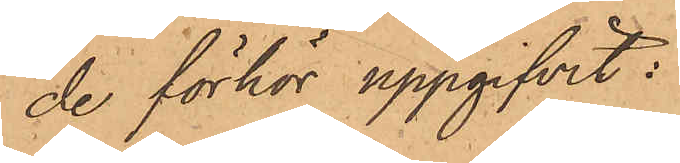de förhör uppgifvit:
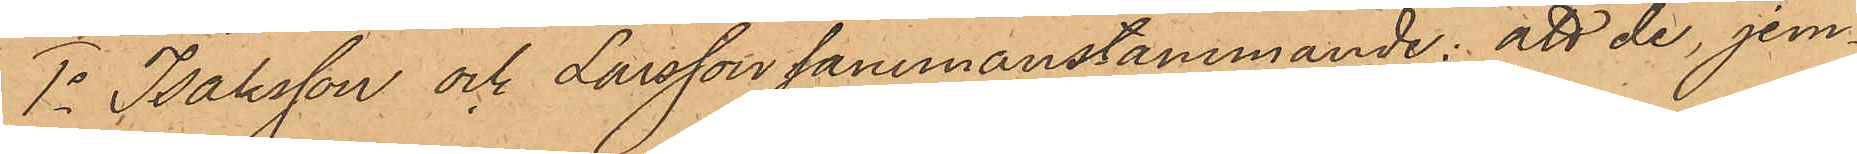1o Isaksson och Larsson sammanstämmande: att de, jem¬
